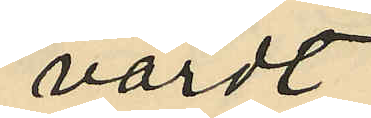värdt
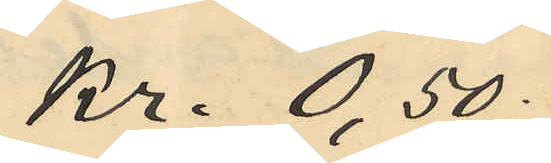kr. 0,50:
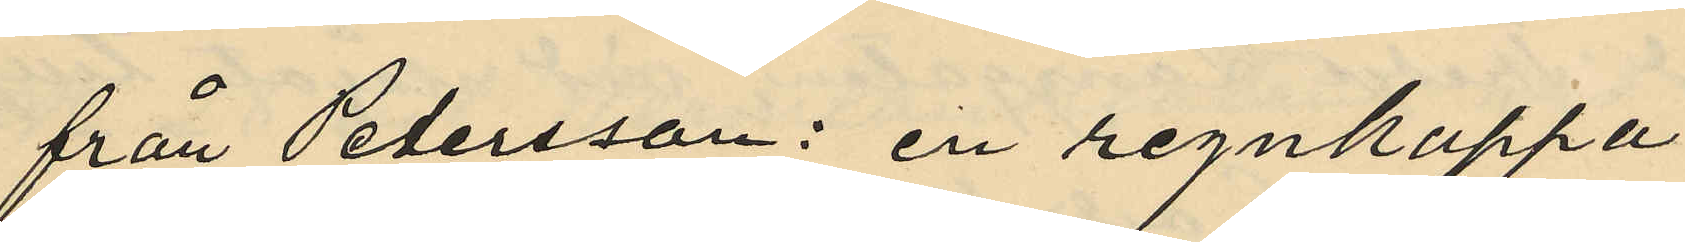från Petersson: en regnkappa
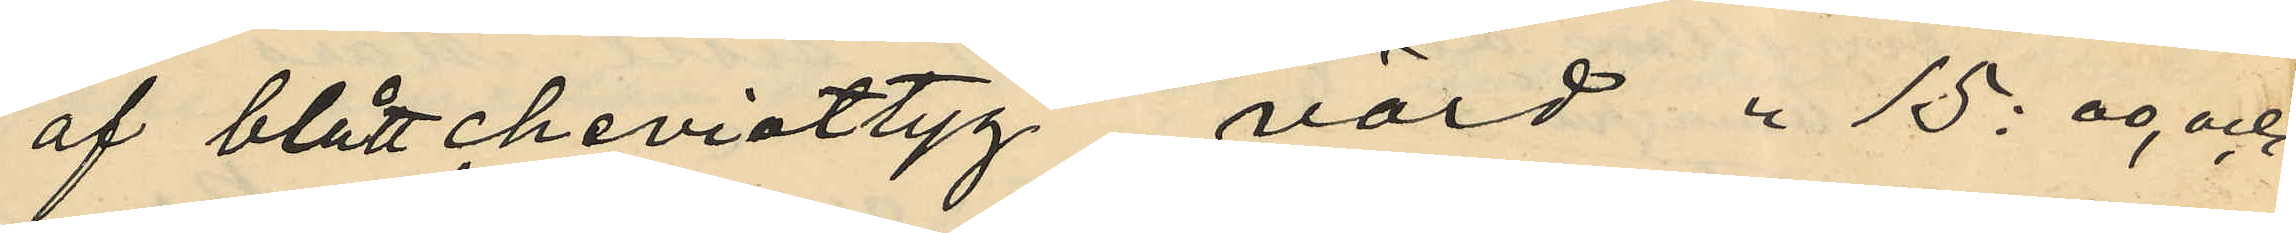af blått cheviottyg, värd " 15:00, och
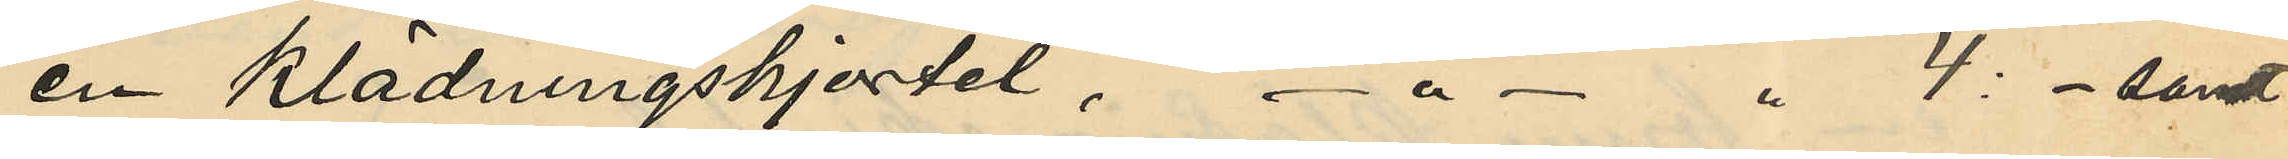en klädningskjortel, - " - " 4:- samt
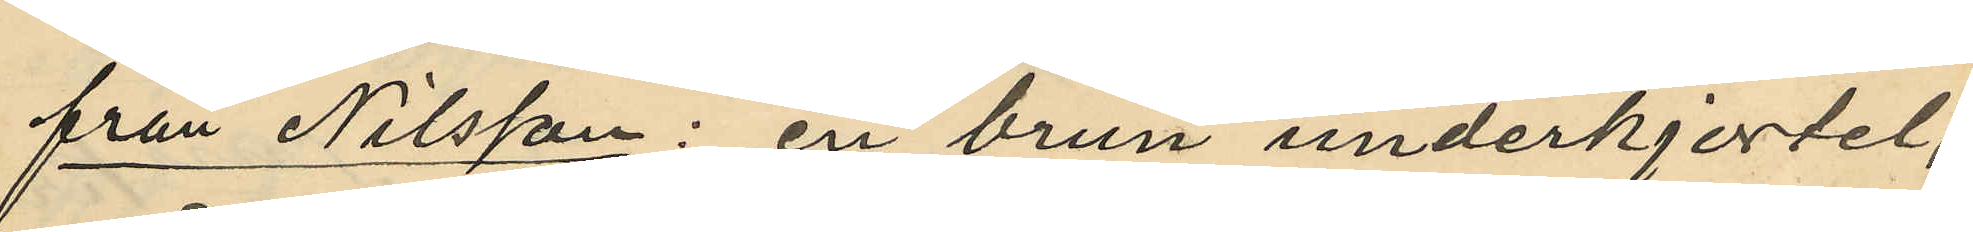från Nilsson: en brun underkjortel,
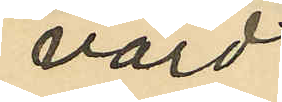värd
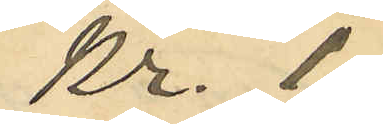Kr. 1:
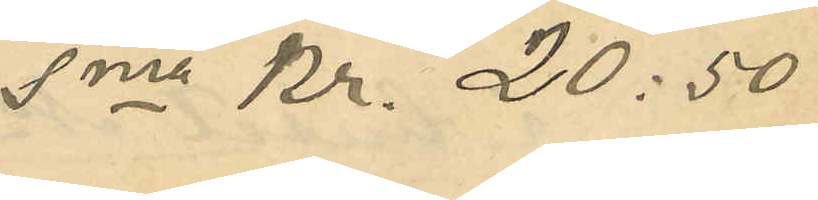Sma Kr. 20:50
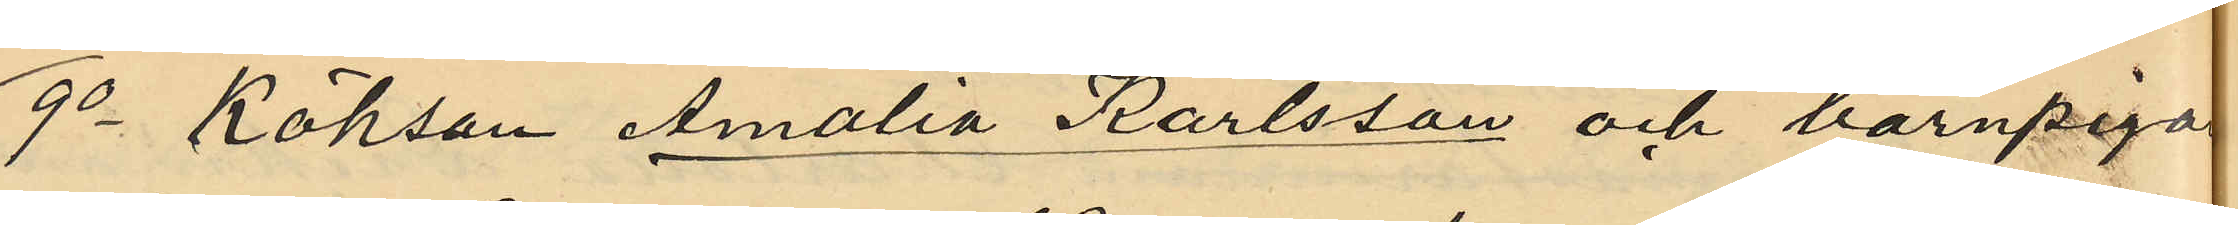9o Köksan Amalia Karlsson och barnpiga
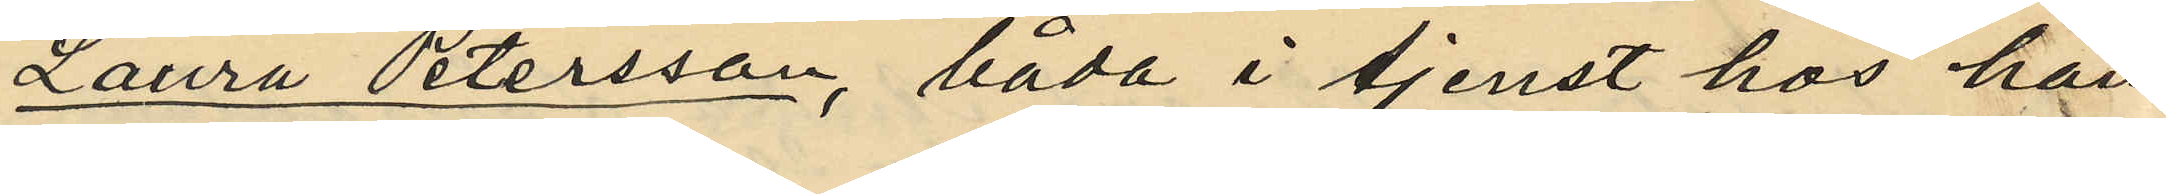Laura Petersson, båda i tjenst hos han¬
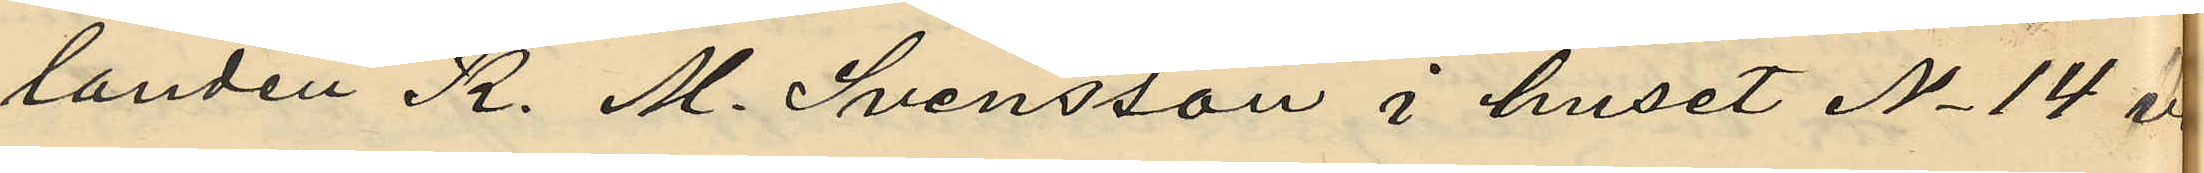landen K. M. Svensson i huset No 14 å
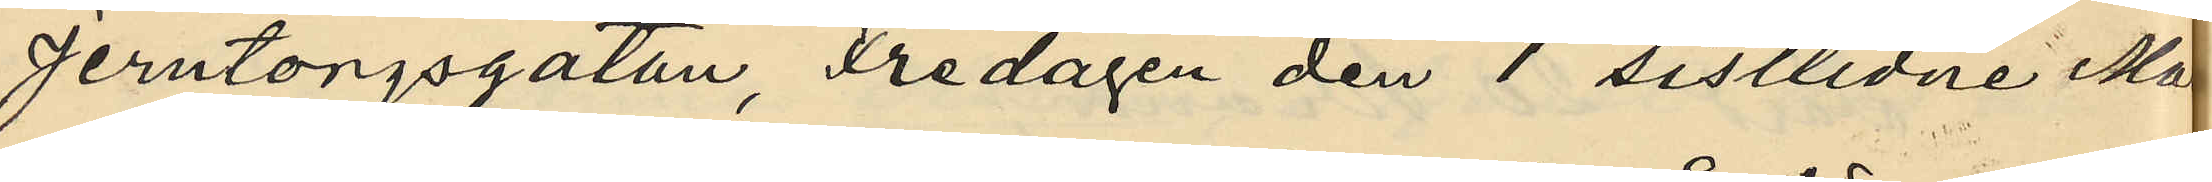Jerntorgsgatan, Fredagen den 1 sistlidne Mars
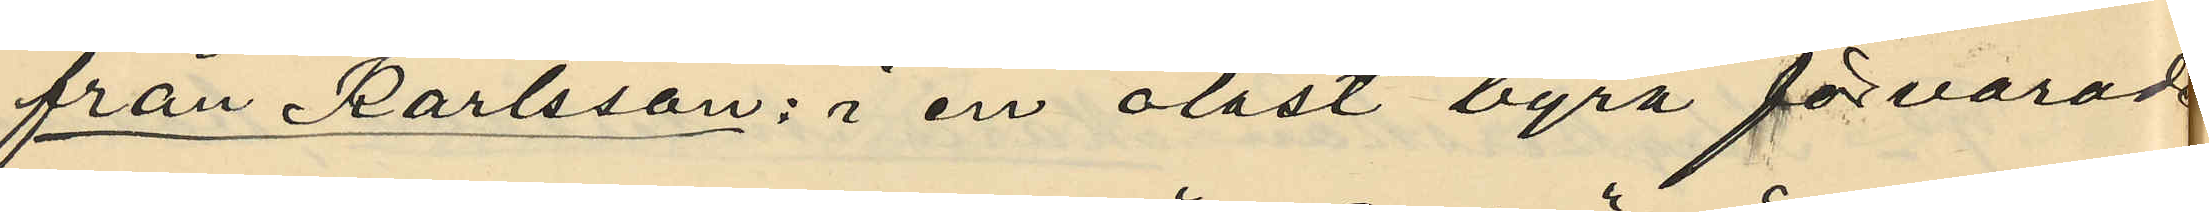från Karlsson: i en olåst byrå förvarade
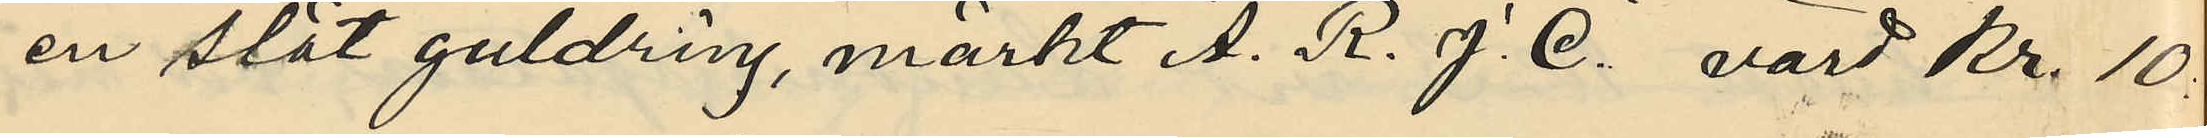en slät guldring, märkt "A. R. J. C." värd Kr. 10
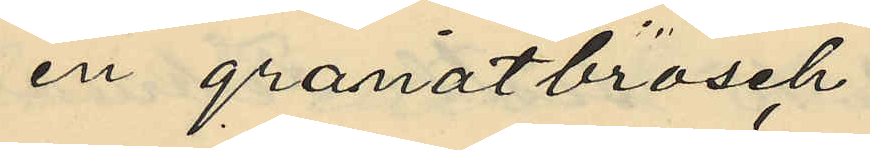en granatbrosch
